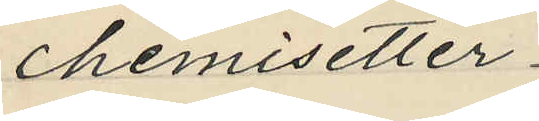chemisetter
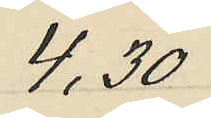4,30
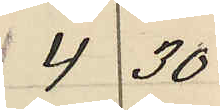4 30
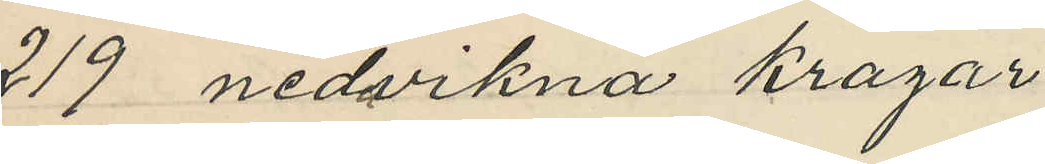219 nedvikna kragar
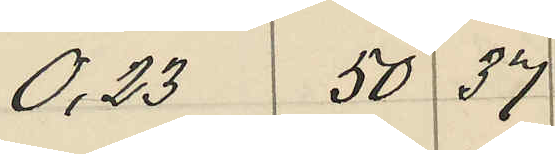0.23 50 37
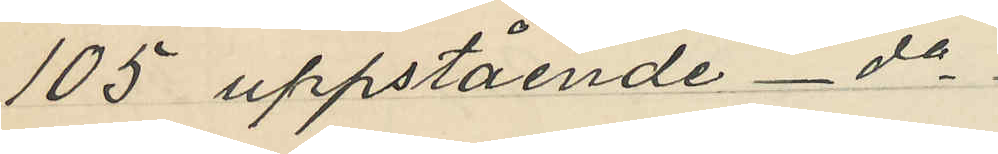105 uppstående - do
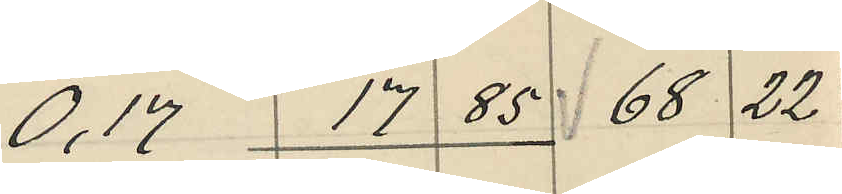0,17 17 85 68 22
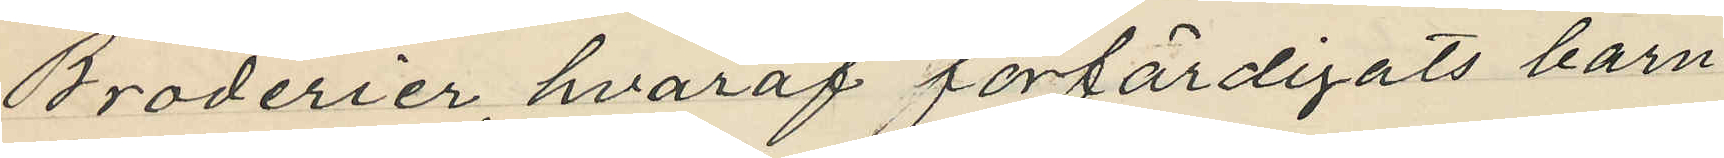Broderier, hvaraf förfärdigats barn¬
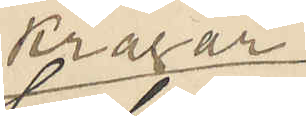kragar
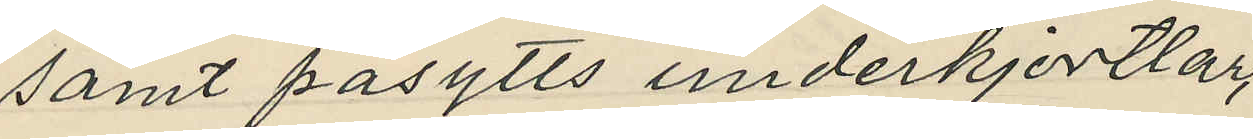samt påsytts underkjortlar
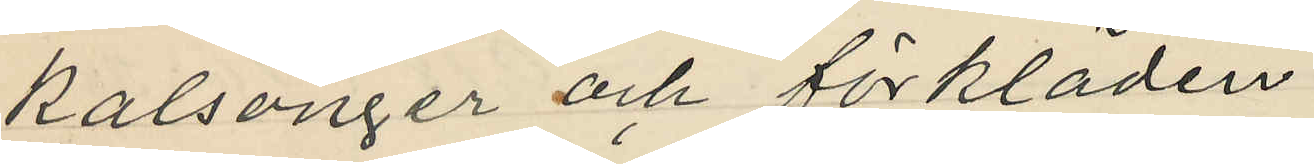kalsonger och förkladen:
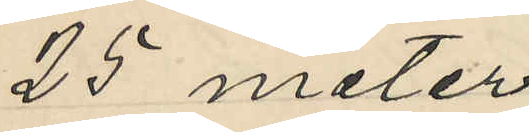25 meter
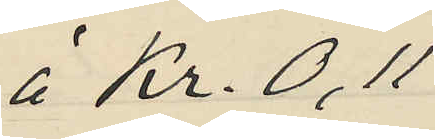á Kr. 0,11
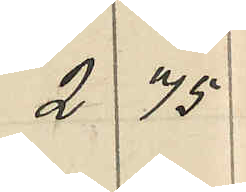2 75
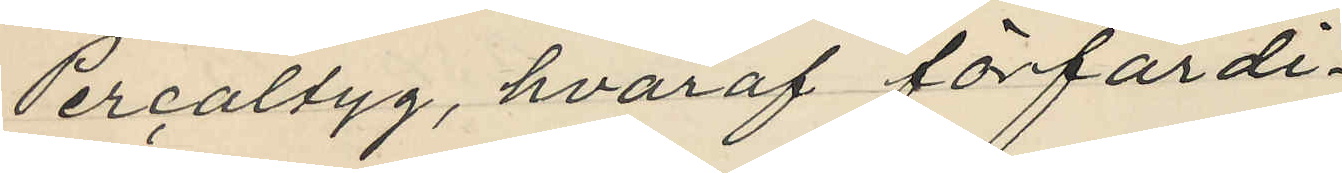Percaltyg, hvaraf förfärdi¬
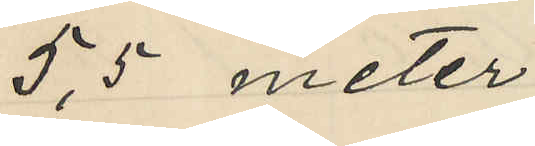5,5 meter
